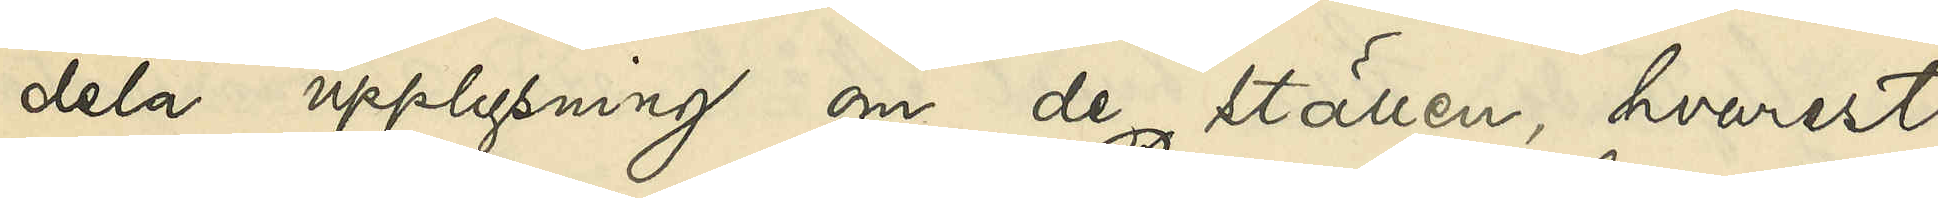dela upplysningar om de ställen, hvarest
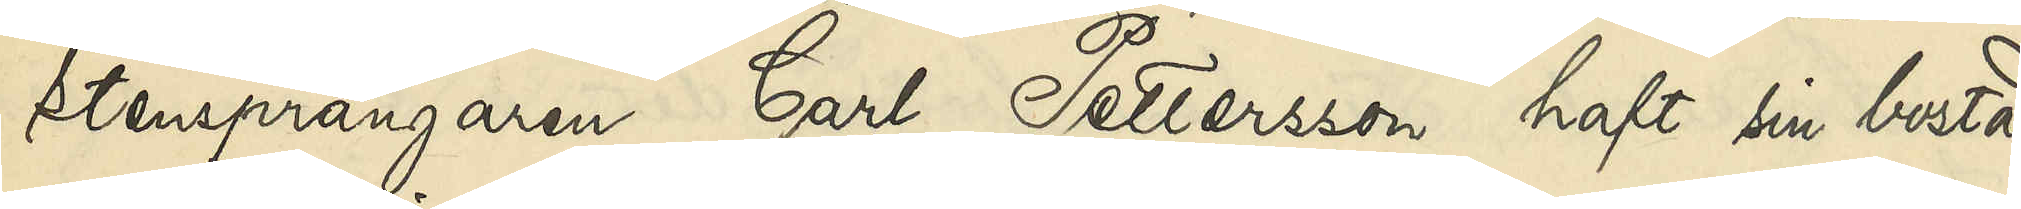Stensprängaren Carl Pettersson haft sin bostad
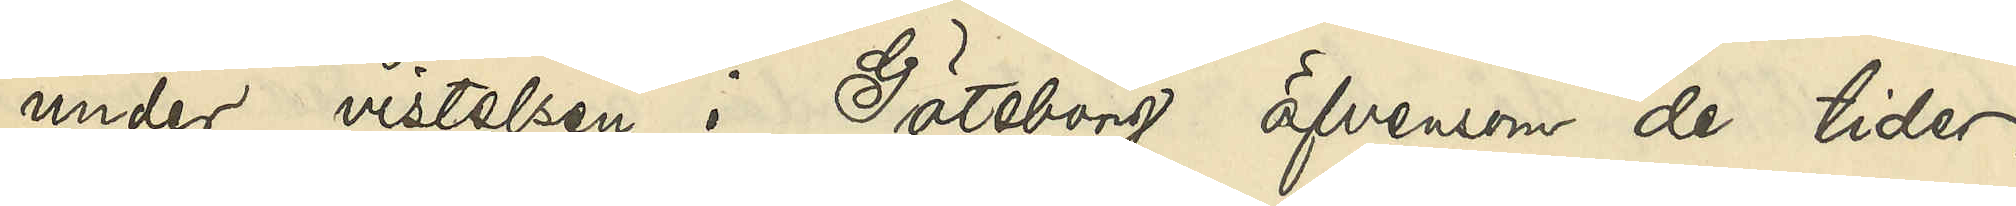under vistelsen i Göteborg äfvensom de tider,
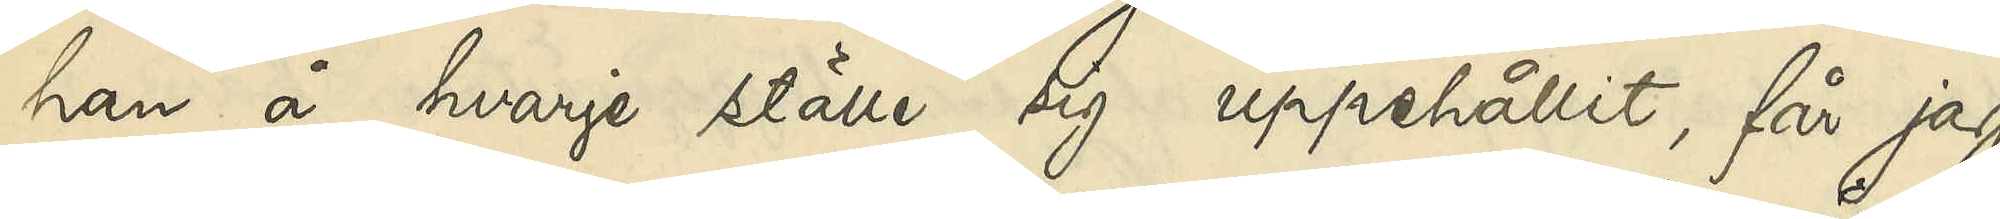han å hvarje ställe sig uppehållit, får jag
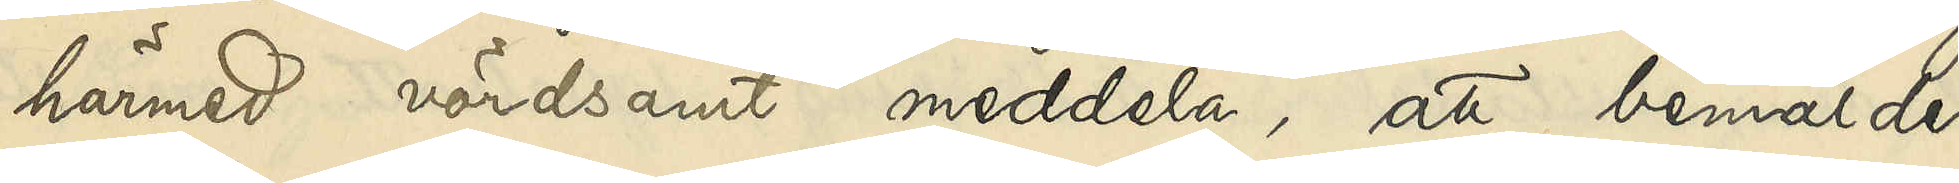härmed vördsamt meddela, att bemälde
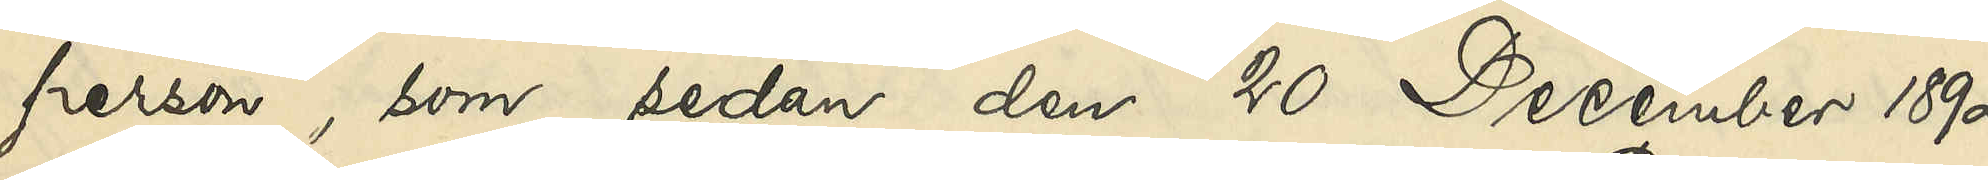person, som sedan den 20 December 1892
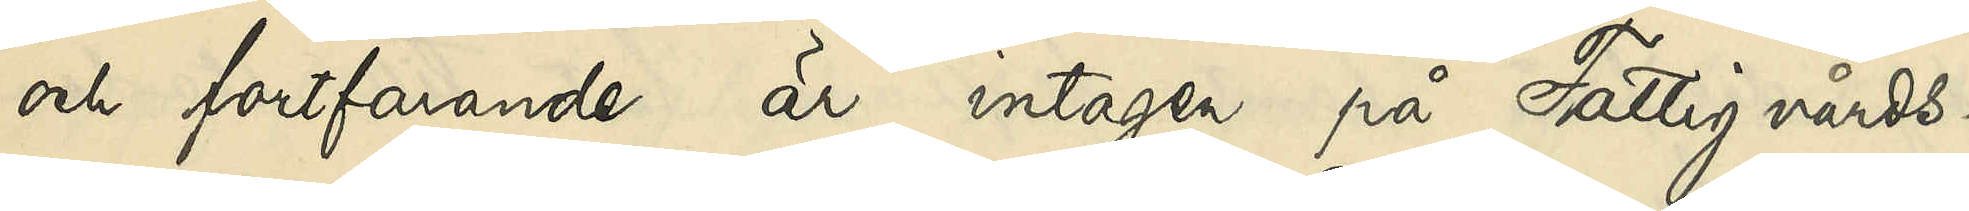och fortfarande är intagen på Fattigvårds¬
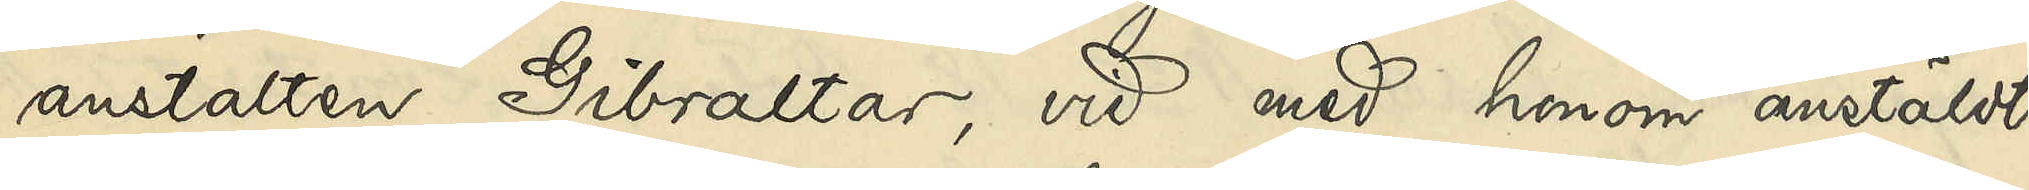anstalten Gibraltar, vid med honom anstäldt
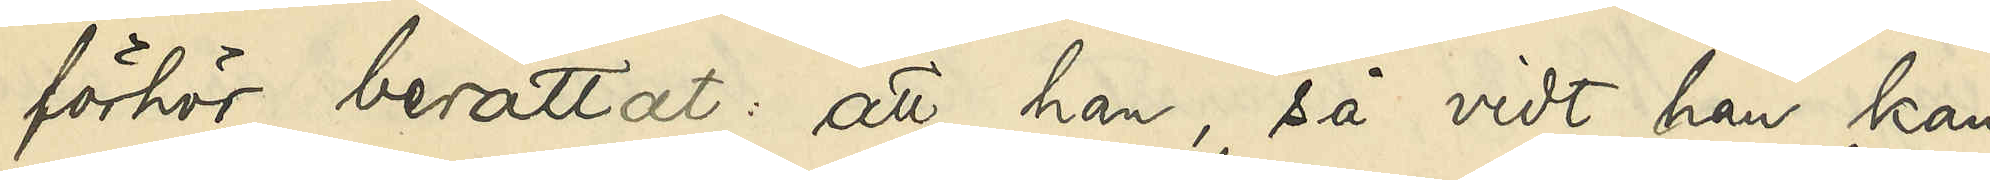förhör berättat att han, så vidt han kan
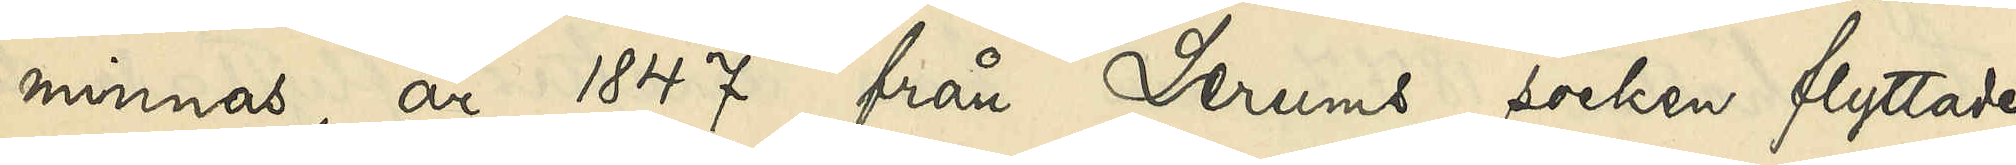minnas, år 1847 från Lerums socken flyttade
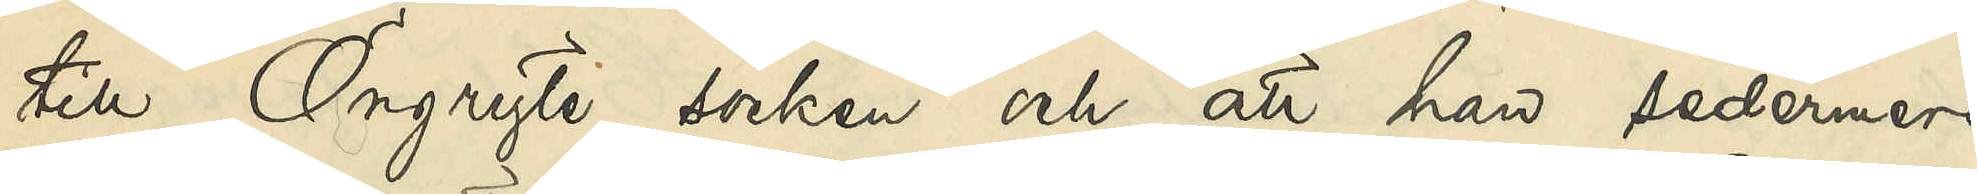till Örgryte socken och att han sedermera
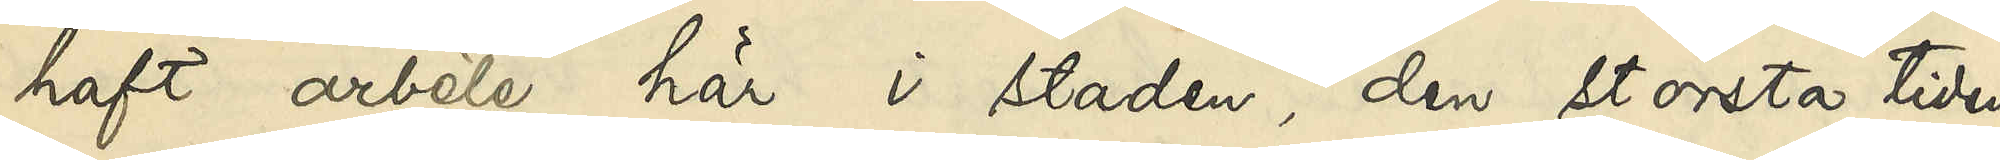haft arbete här i staden, den största tiden
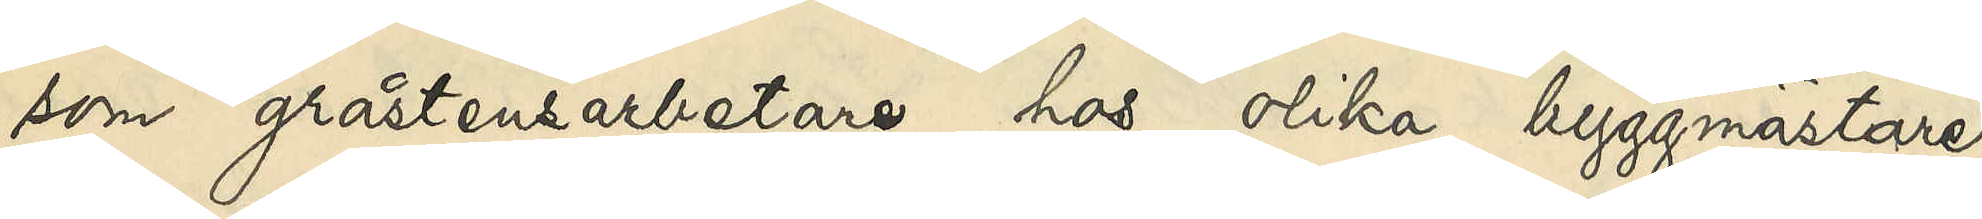som gråstensarbetare hos olika byggmästare,
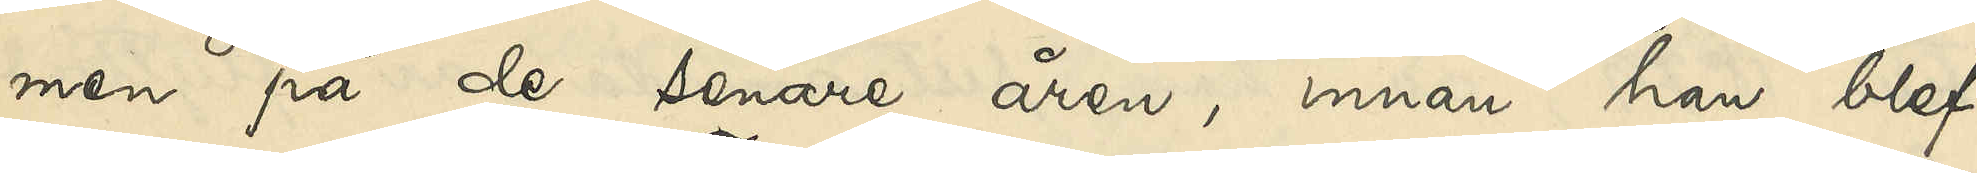men på de senare åren, innan han blef
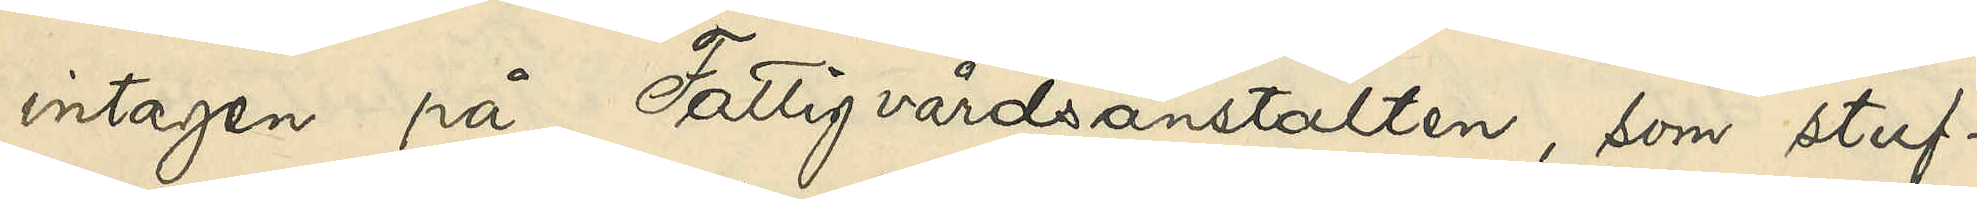intagen på Fattigvårdsanstalten, som stuf¬
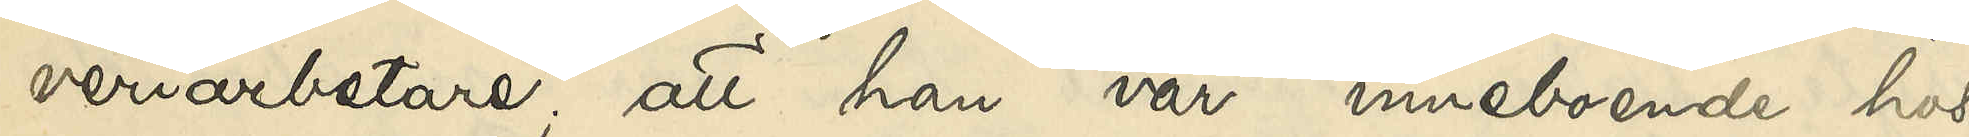veriarbetare, att han var inneboende hos
